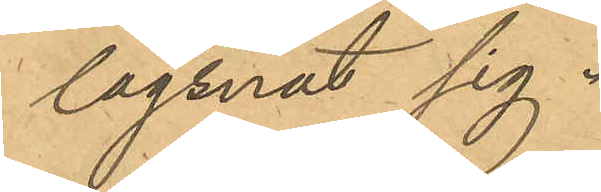lägsnat sig.
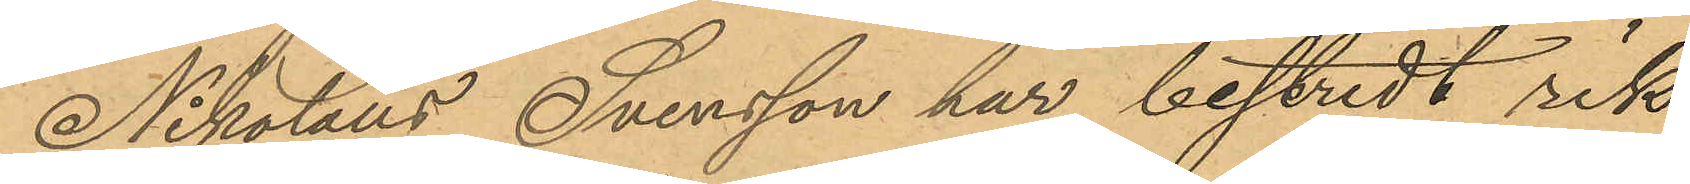Nikolaus Svensson har bestridt rik¬
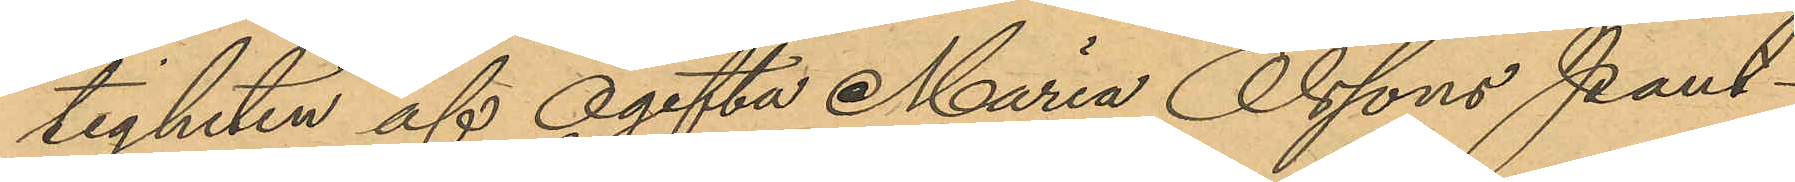tigheten af ogifta Maria Olssons Pant¬
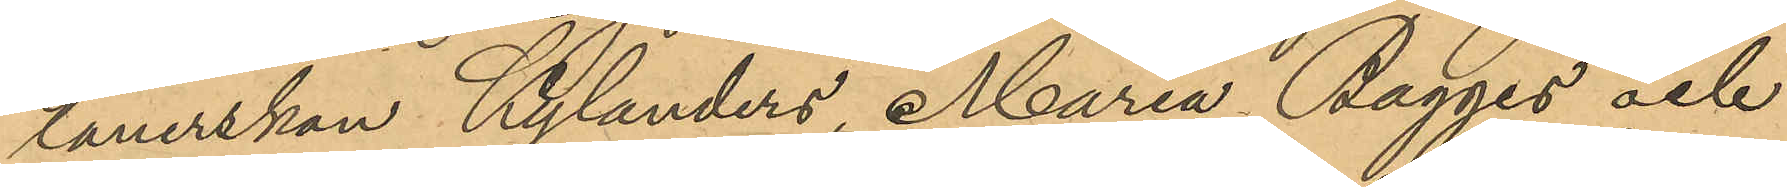lånerskan Kylanders, Maria Bagges och
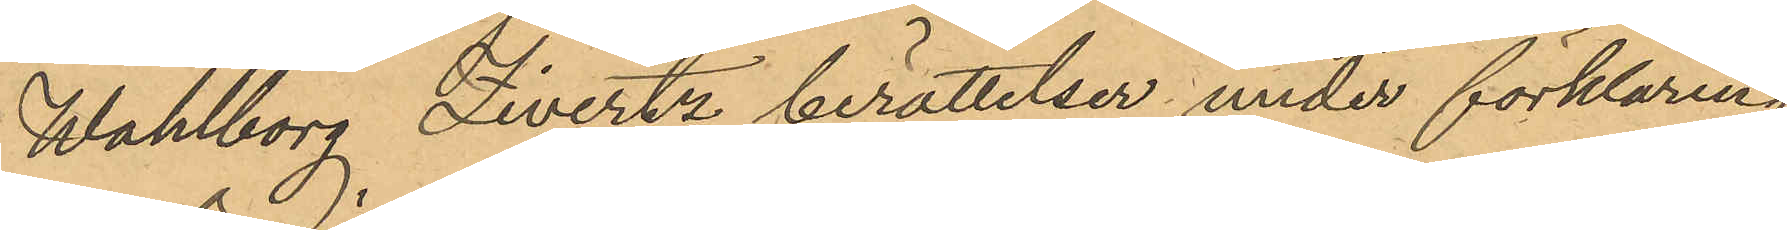Wahlborg Livertz berättelser, under förklaring,
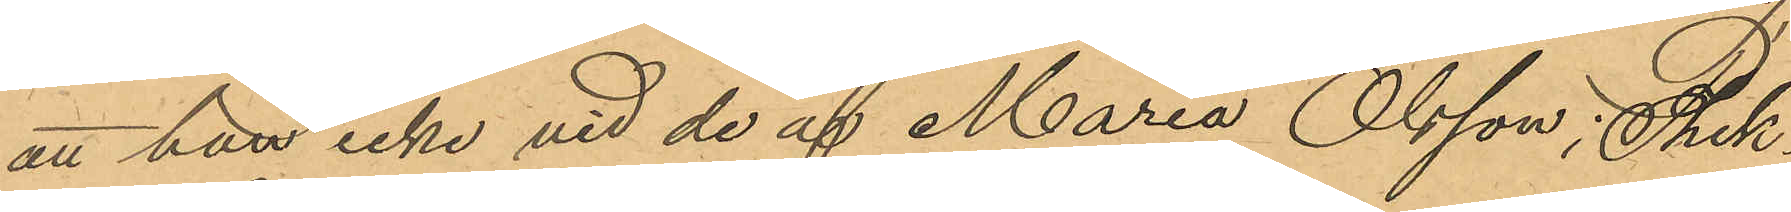att han icke vid de af Maria Olsson, Thek¬
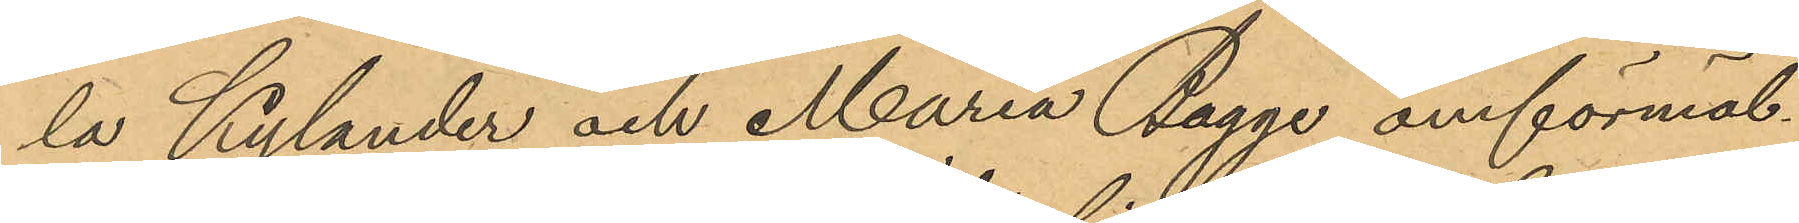la Kylander och Maria Bagge omförmäl¬
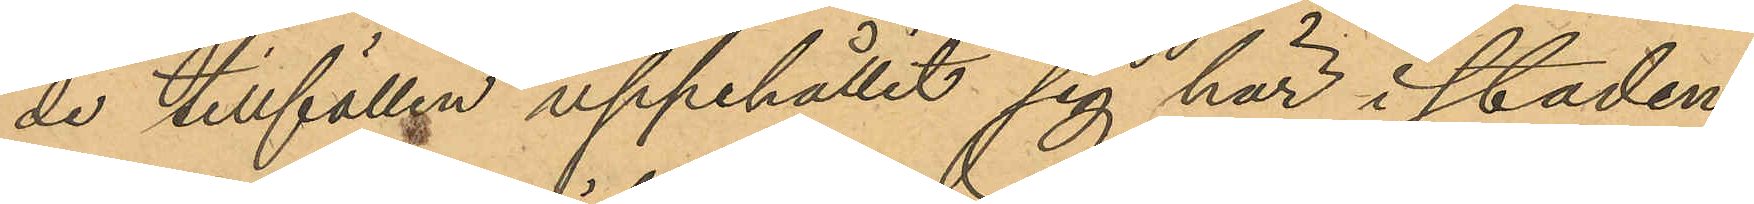de tillfällen uppehållit sig här i staden
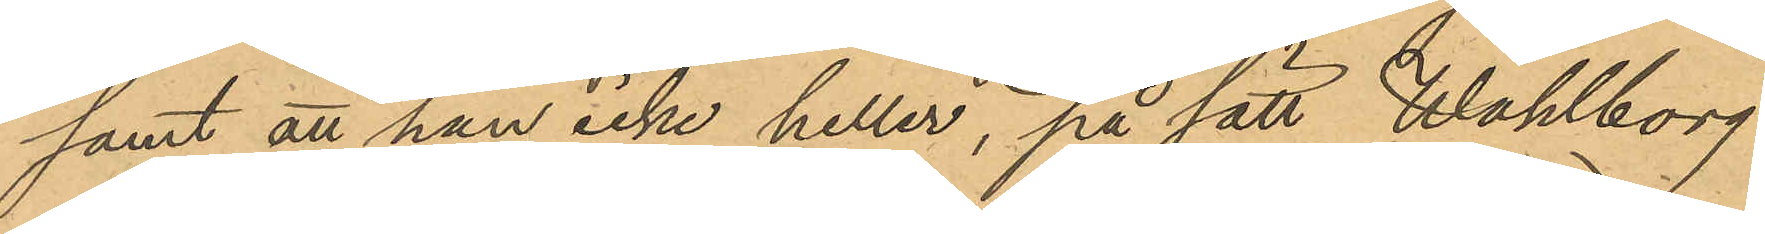samt att han icke heller, på sätt Wahlborg
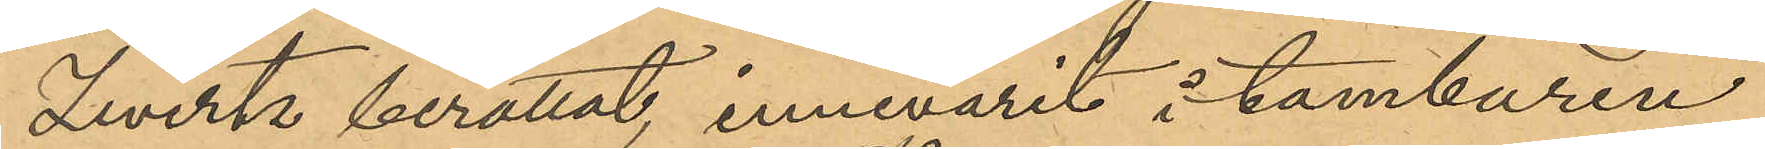Livertz berättat, innevarit i tamburen
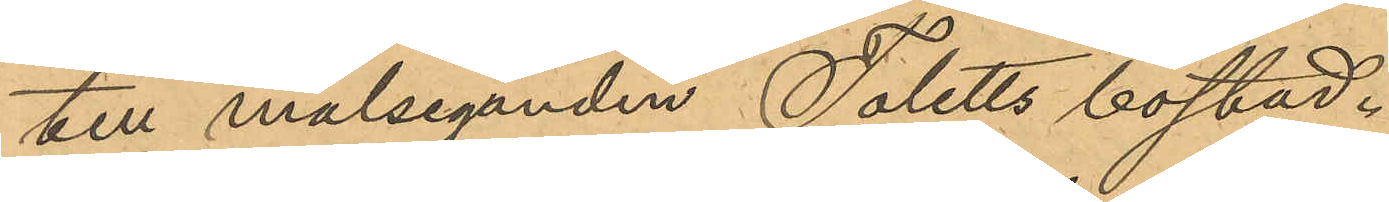till målseganden Toletts bostad.
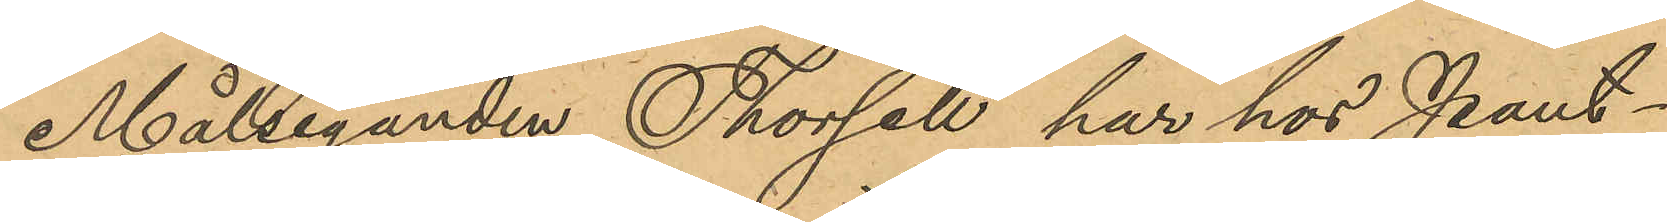Målseganden Thorsell, har hos Pant¬
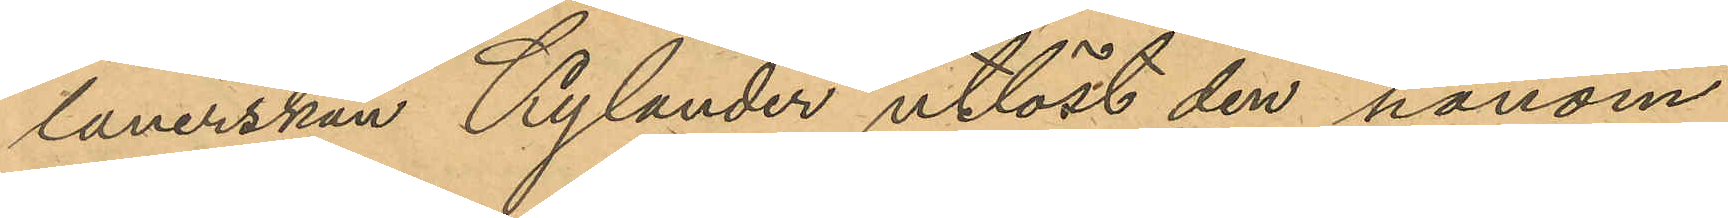lånerskan Kylander utlöst den honom
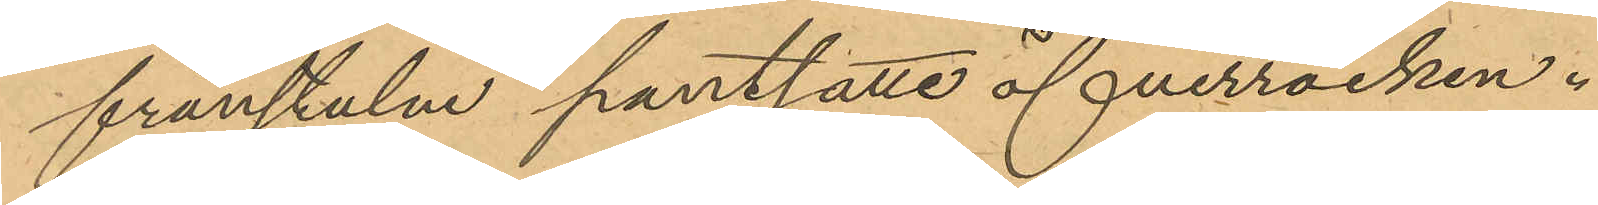frånstulne pantsatte öfverrocken.
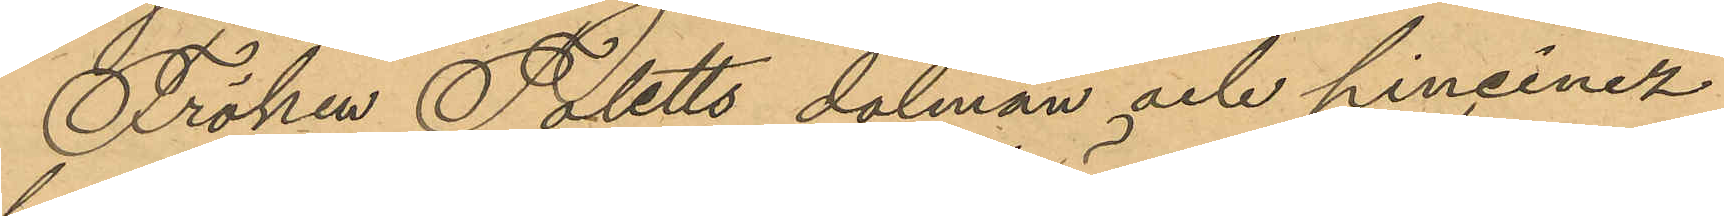Fröken Toletts dolman och pincinez
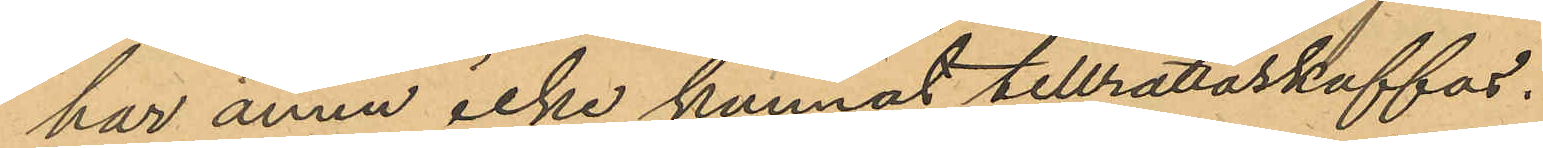har ännu icke kunnat tillrättaskaffas.
